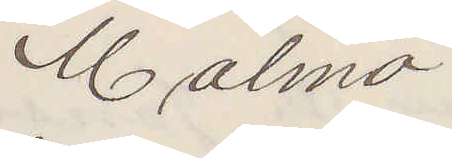Malmö
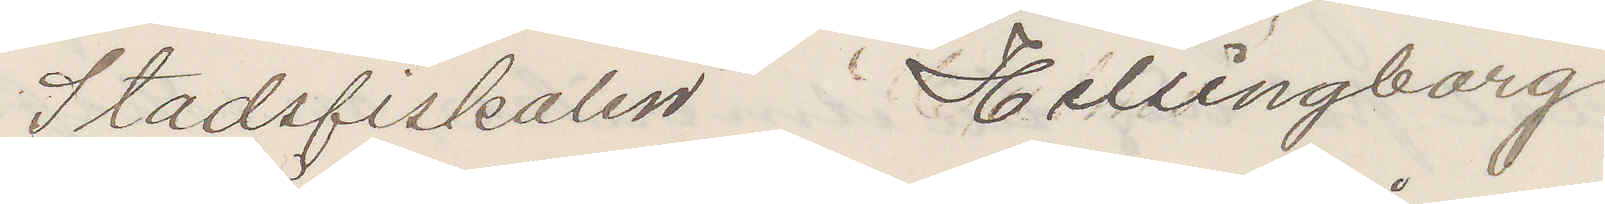Stadsfiskalen Helsingborg
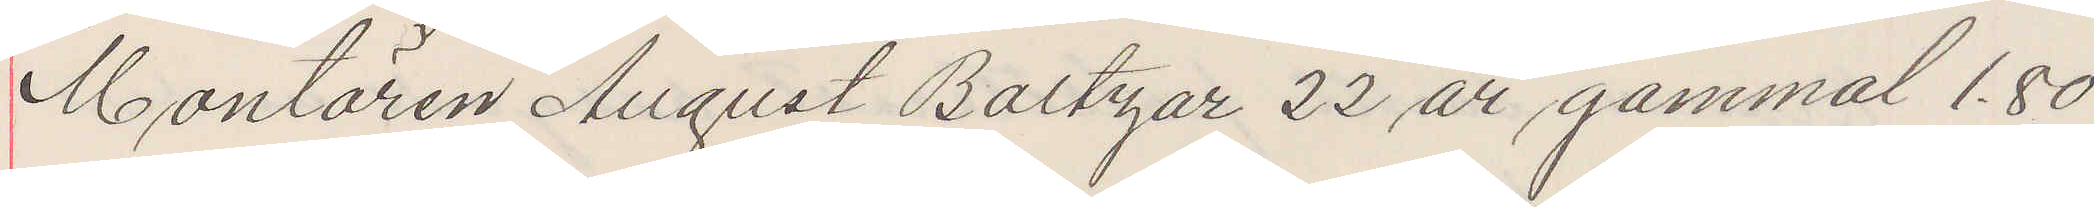Montören August Baltzar 22 år gammal 1,80
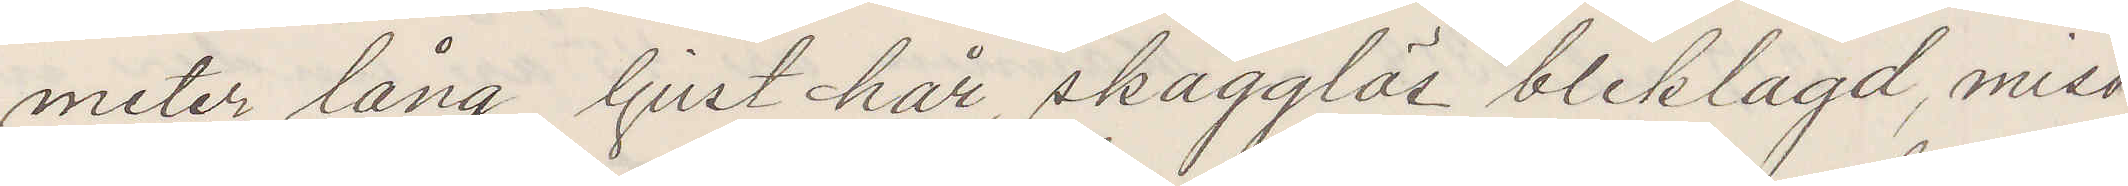meter lång, ljust hår, skägglös bleklagd, miss¬
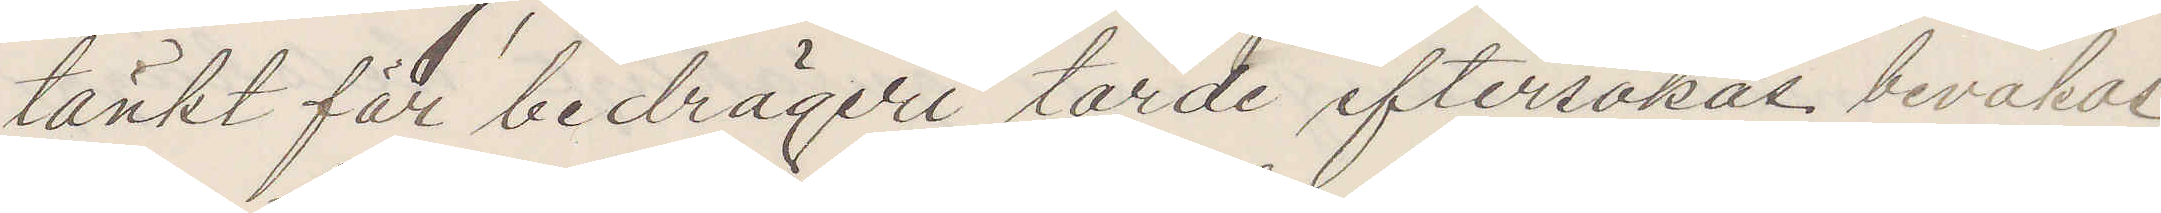tänkt för bedrägeri torde eftersökas. bevakas
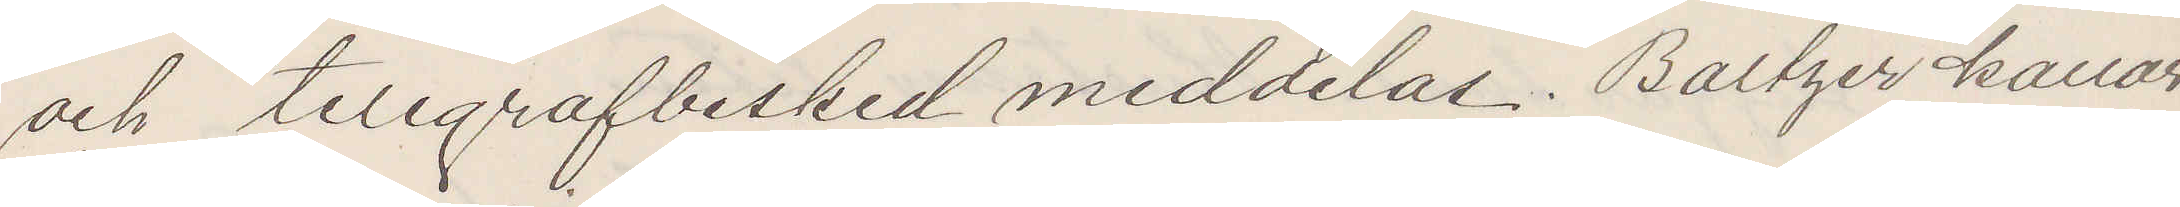och telegrafbesked meddelas. Baltzer kallar
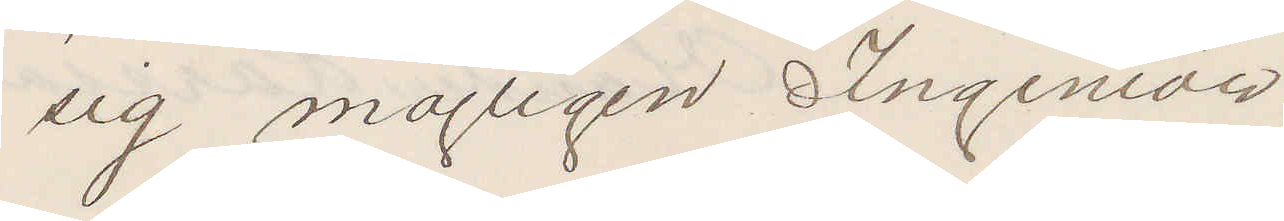sig möjligen Ingeniör
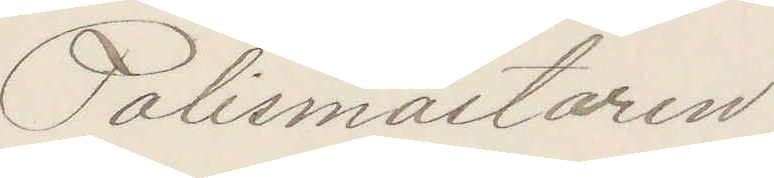Polismästaren
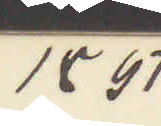1897
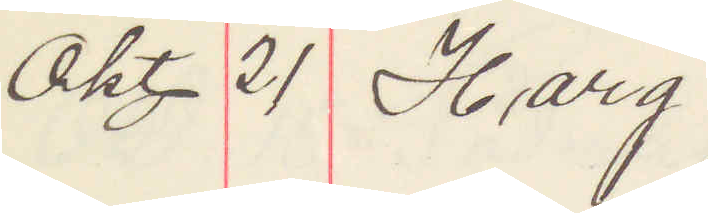Okt 21 Harg
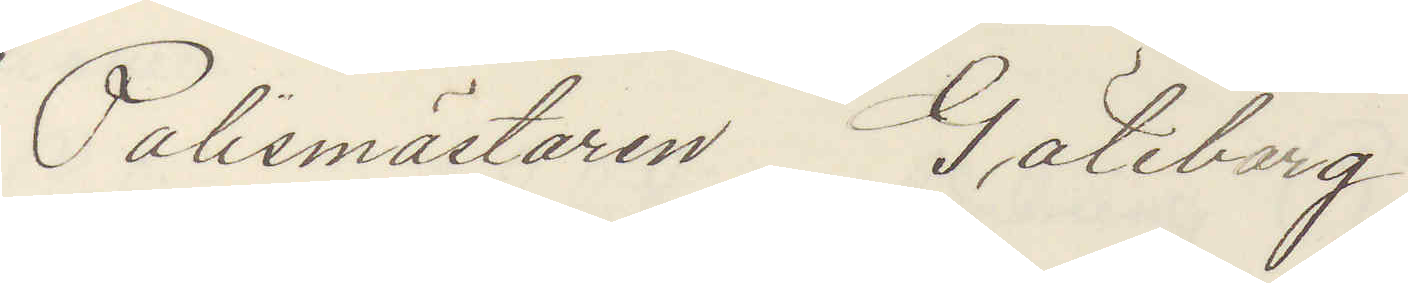Polismästaren Göteborg
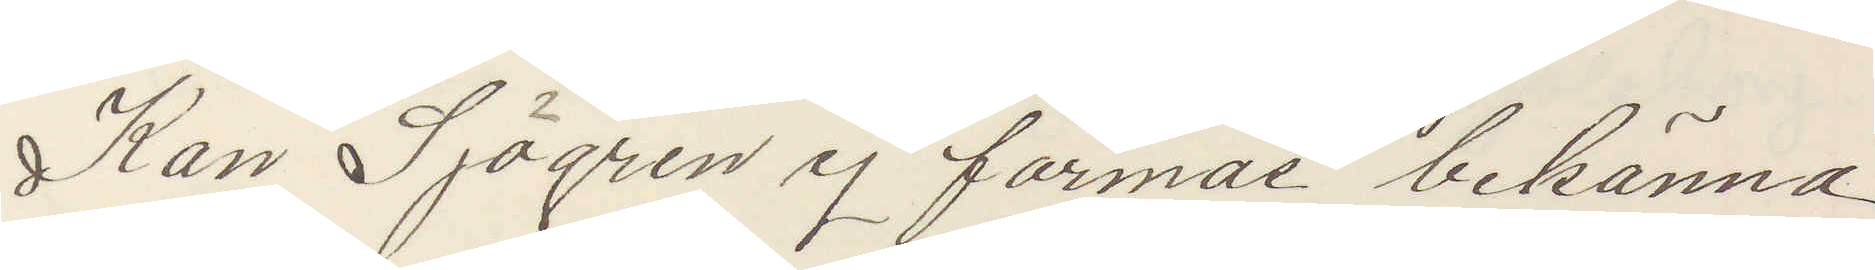Kan Sjögren ej förmås bekänna
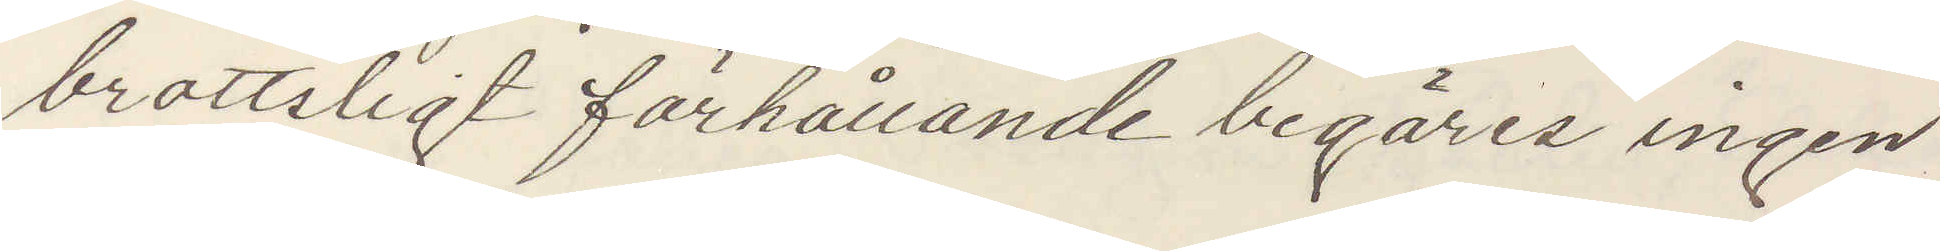brottsligt förhållande begäres ingen
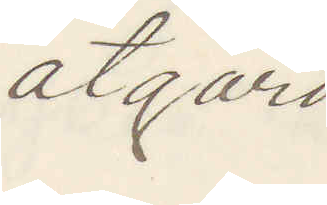åtgärd
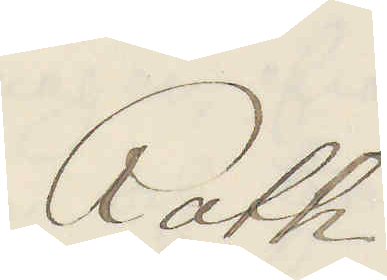Roth
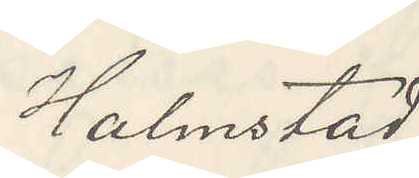Halmstad.
